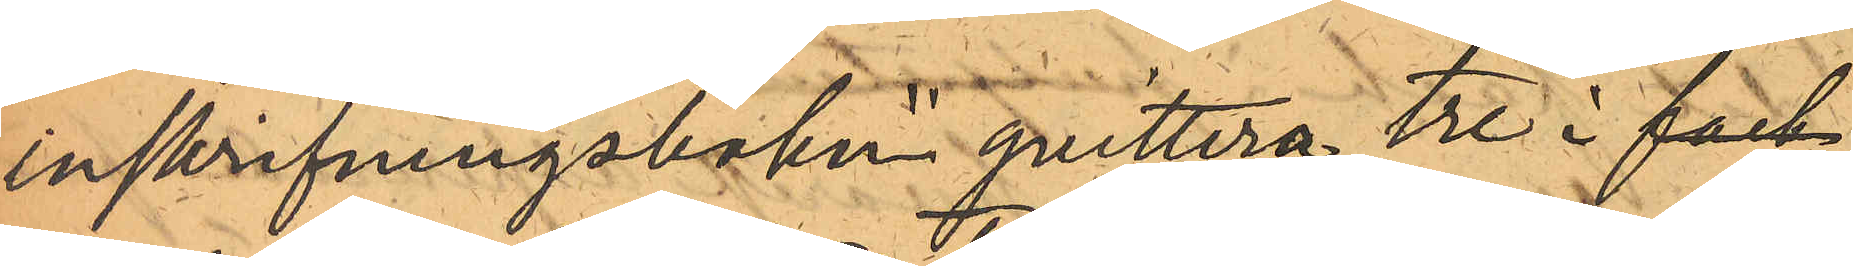inskrifningsboken" qvittera tre i fack
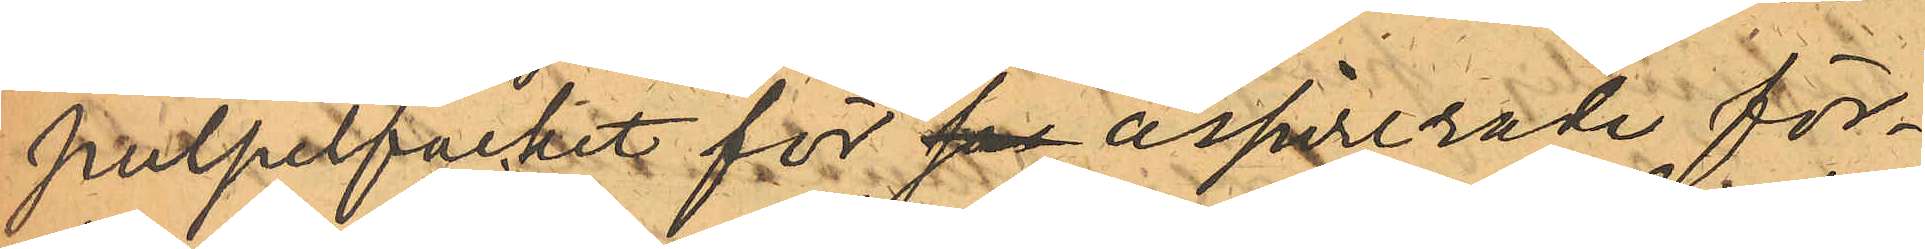pulpetfacket för för assurerade för¬
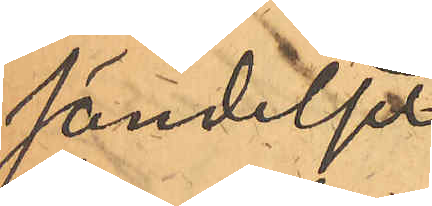sändelser
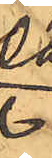då
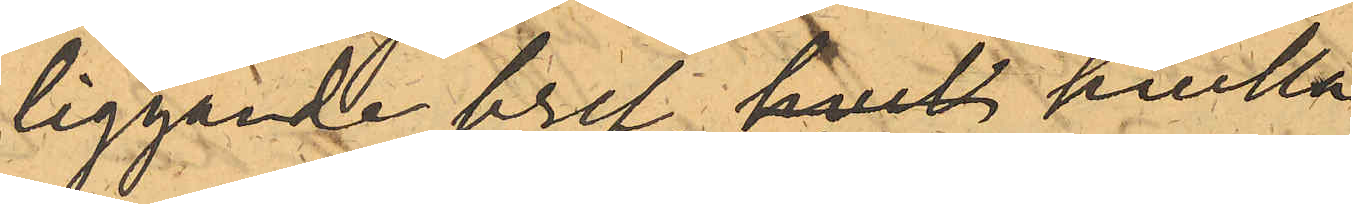liggande bref, hvilk hvilka
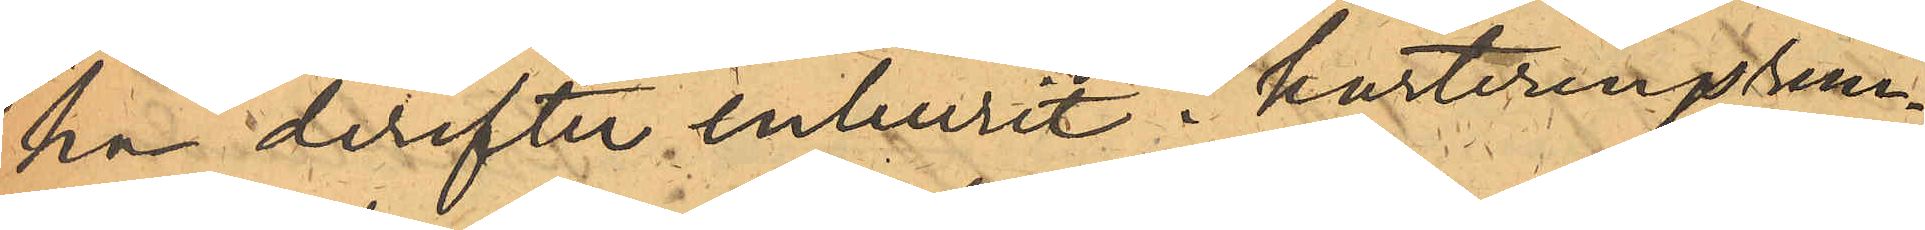han derefter inburit i karteringsrum¬
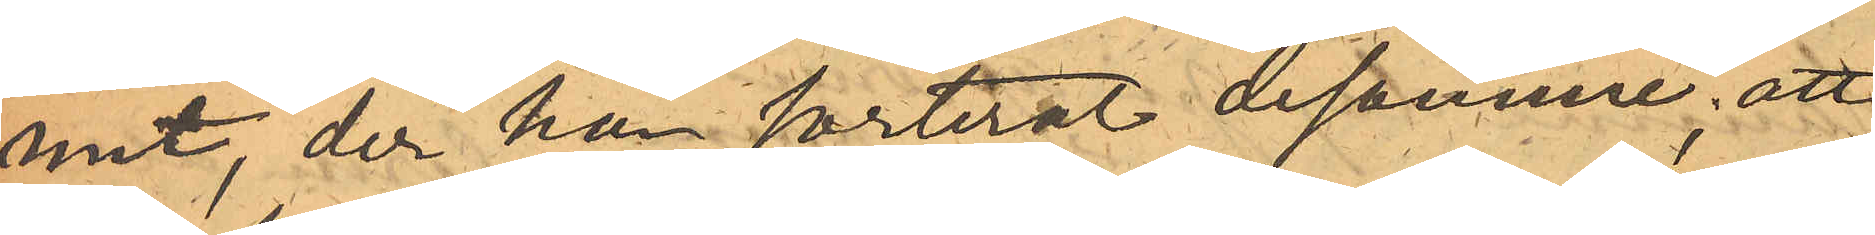met; der han sorterat desamme; att
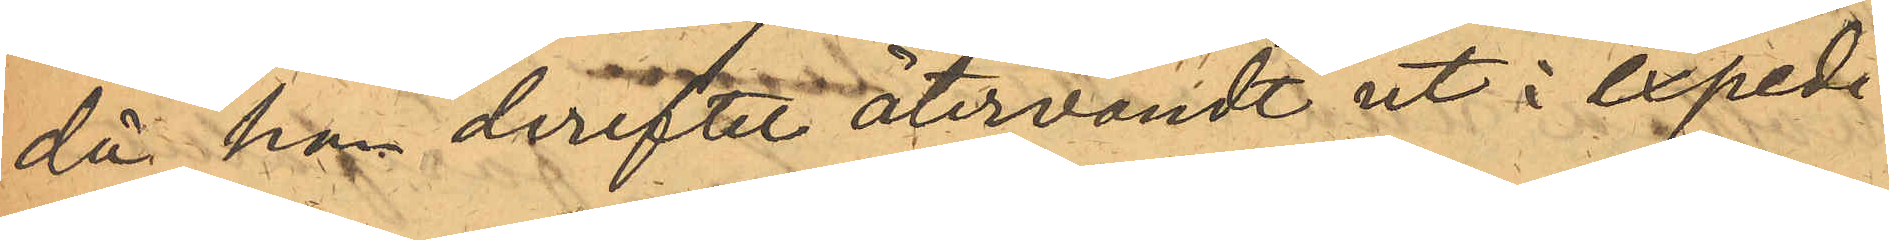då han derefter återvändt ut i expedi¬
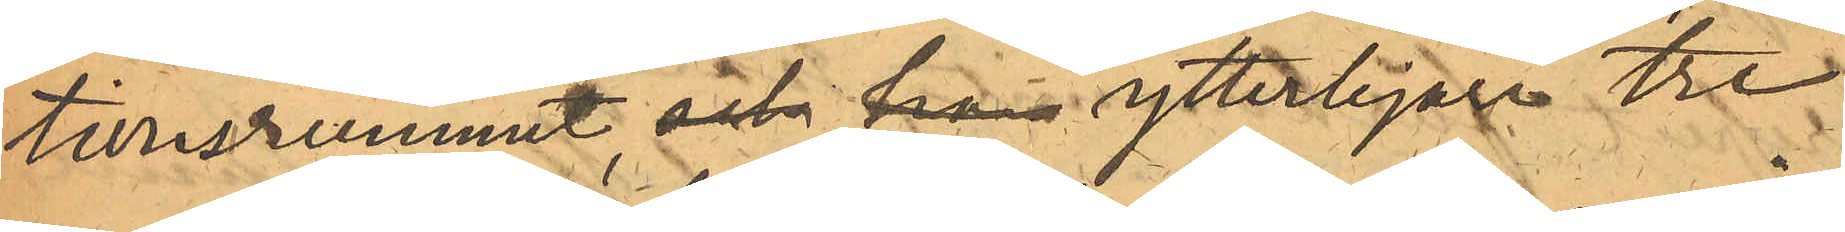tionsrummet ank han  ytterligare tre
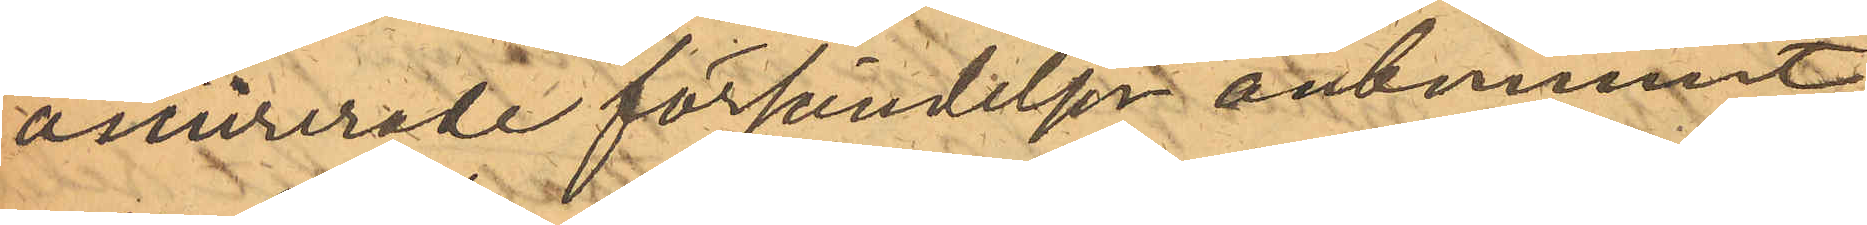assurerade försändelser ankommit;
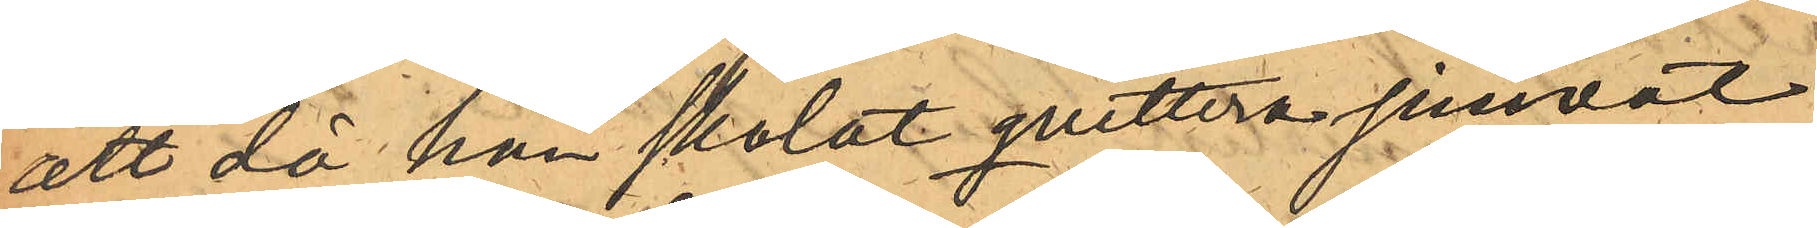att då han skolat qvittera jemväl
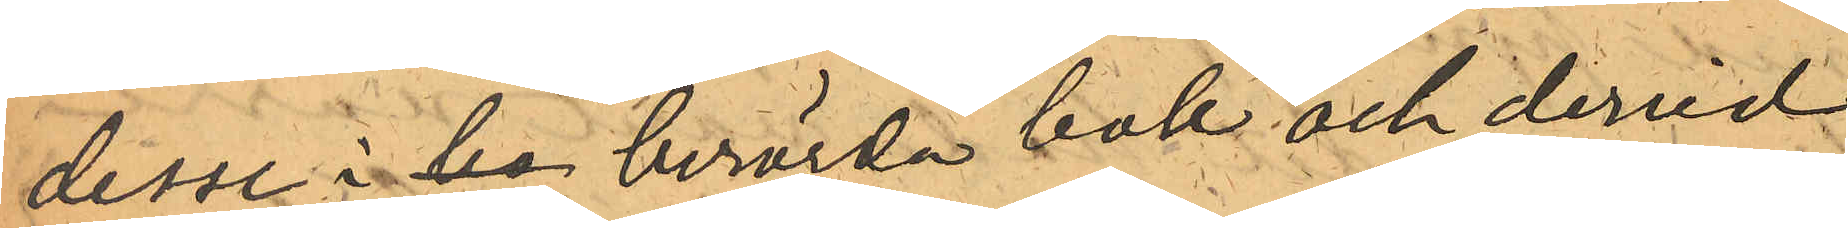desse i bo berörda bok och dervid
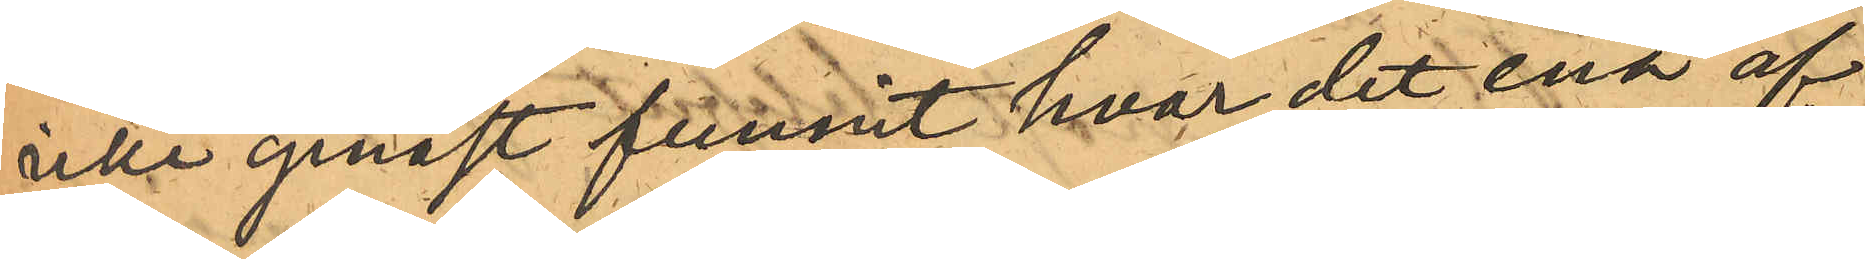icke genast funnit hvar det ena af
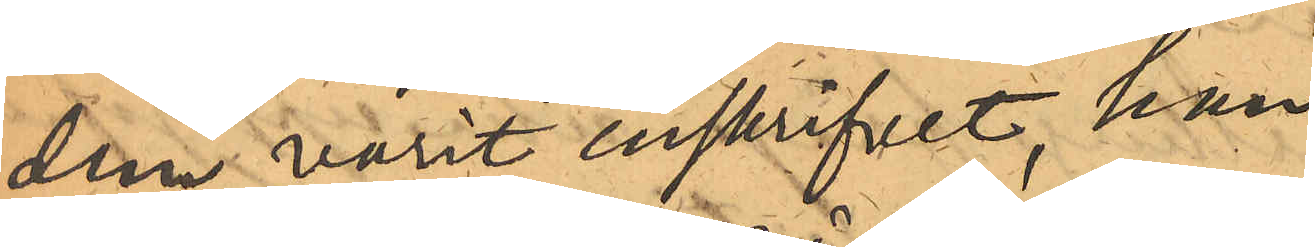dem varit inskrifvit, han
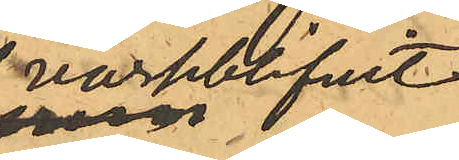varseblifvit
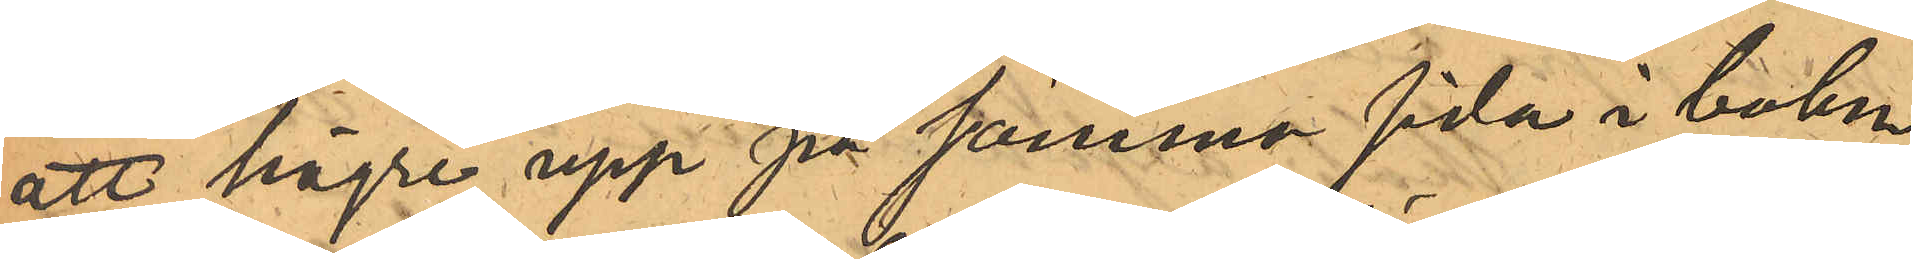att högre upp på samma sida i boken
